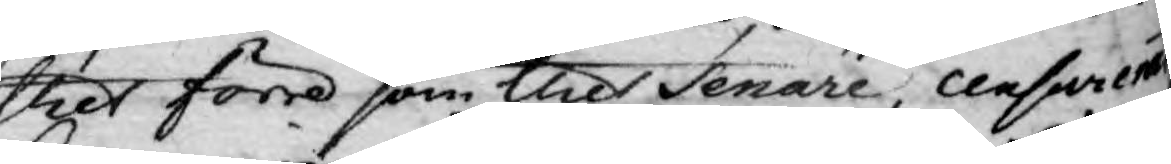thes förra som thes senare, censors emot
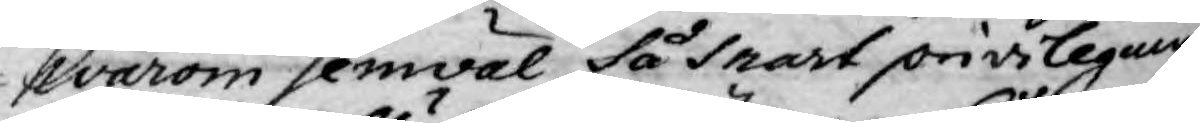hvarom hemväl, så snart privilegium
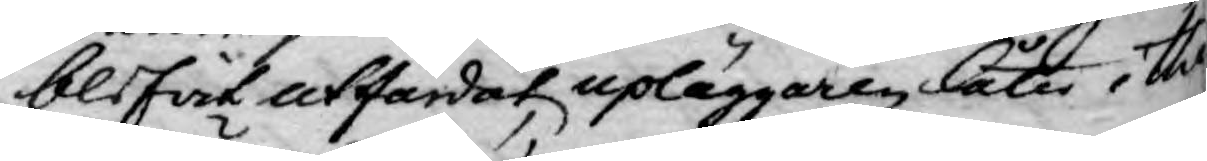blifwit utfärdat upläggaren låter i the
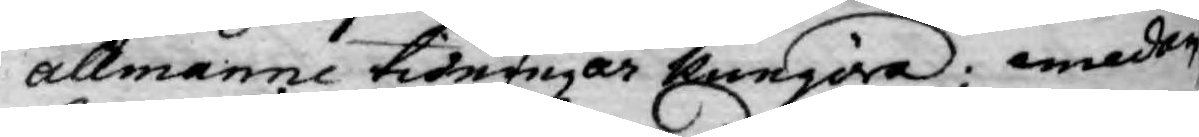allmänne tidningar kungöra; emedan
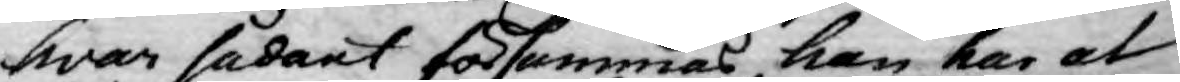hvar sådant försummas, han har at
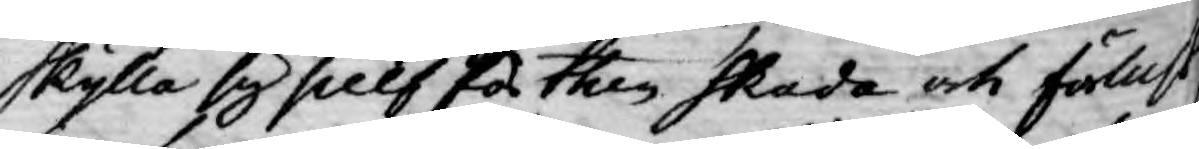skylla sig sielf för then skada och fölust
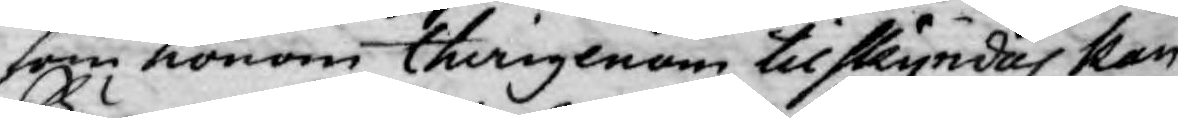som honom therigenom tilskyndas kan.
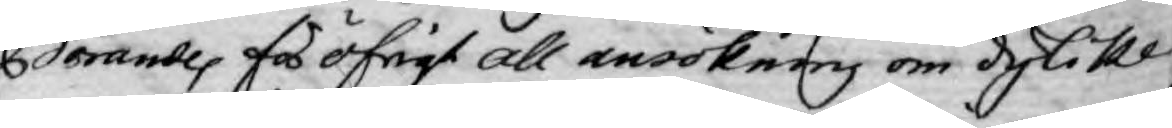Börandes för öfrigt all ansökning om dylika
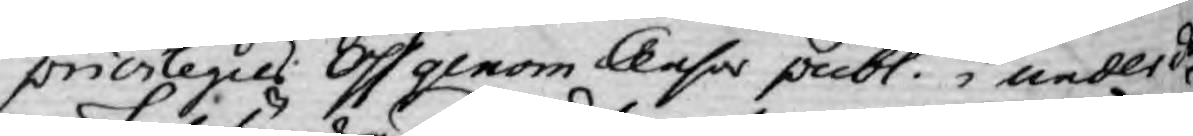privilegies Oss genom Censor publ. i underdå¬
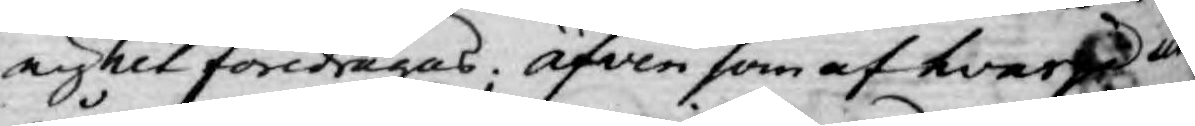nighet föredragas. Äfven som af hvarje ut¬
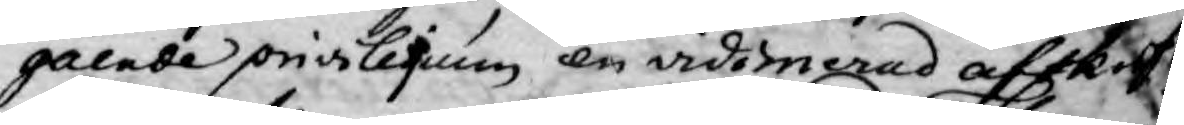gående privilegium en vidimerad afskrift
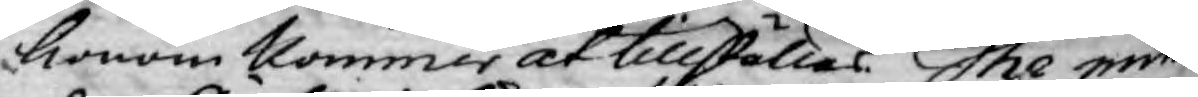honom kommer at tillställas. The min¬
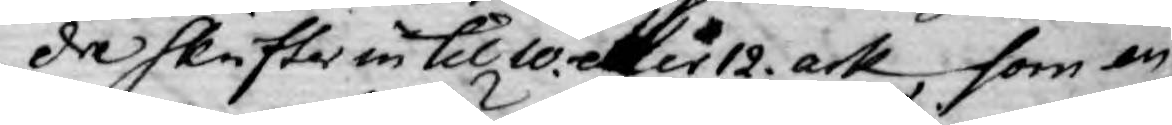dre skrifter in til 10 eller 12. ark, som en
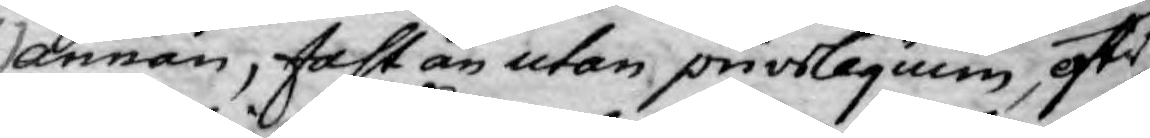annan, fastän utan privilegium, efter
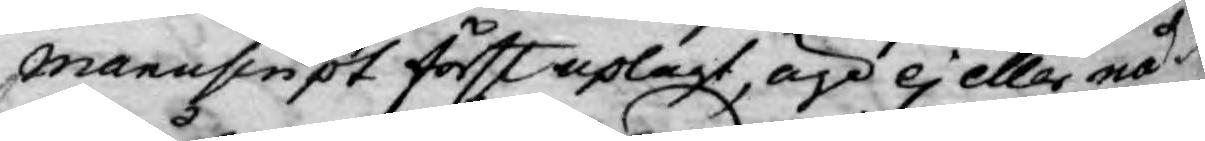manuscript först uplagt, äga ej eller nå¬
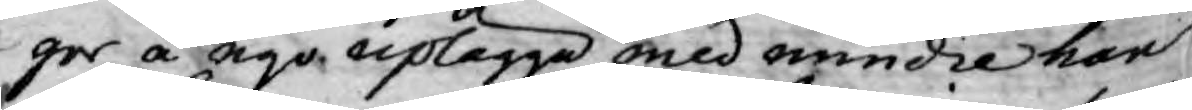ger å nyo uplägga med mindre han
